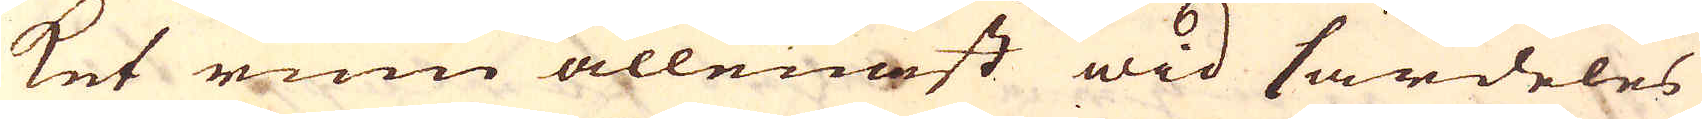ket rum allenast wid särdeles
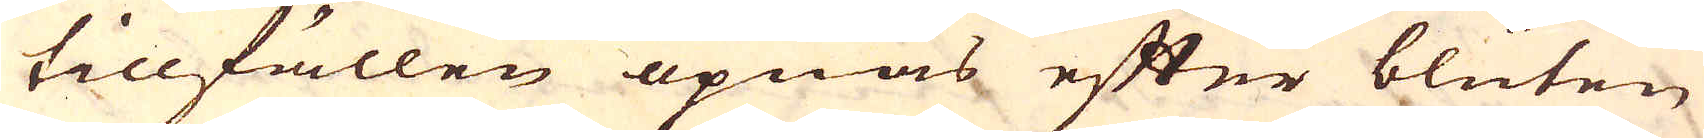tillfällen öpnas efter blüten
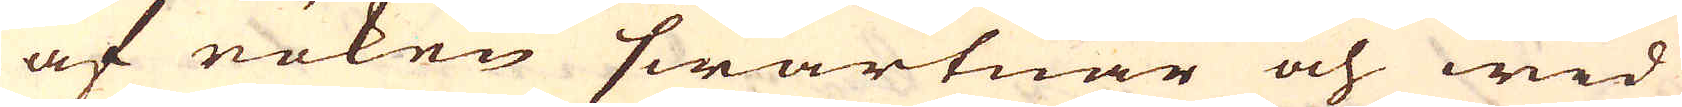af röken swartnar och wid
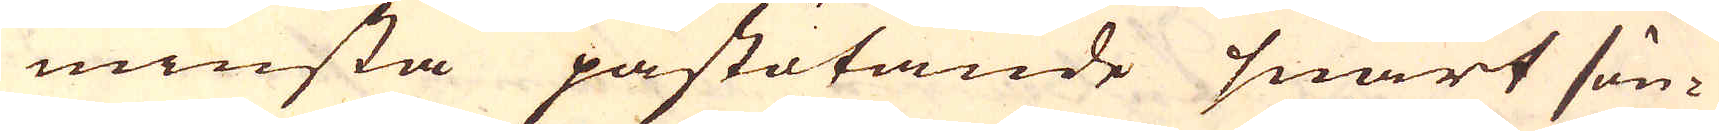minsta påstötande snart sön-
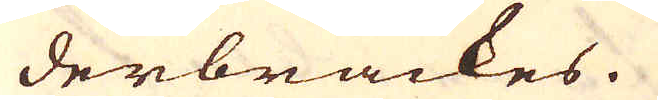derbräckes.
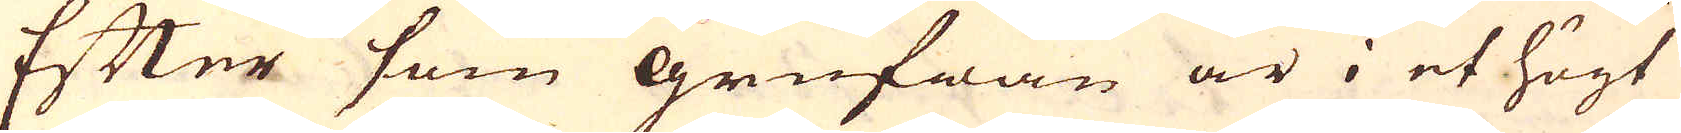Efter som grufwan är i et högt
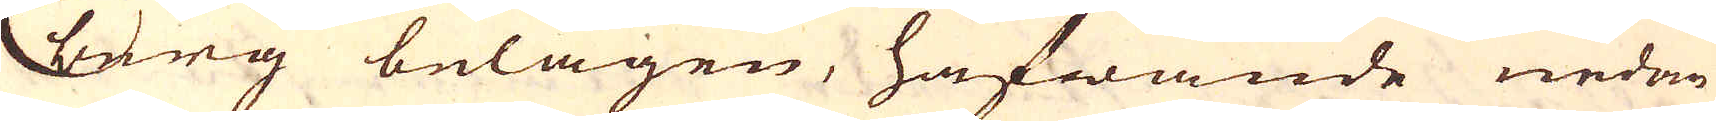berg belägen, hafwande nedan
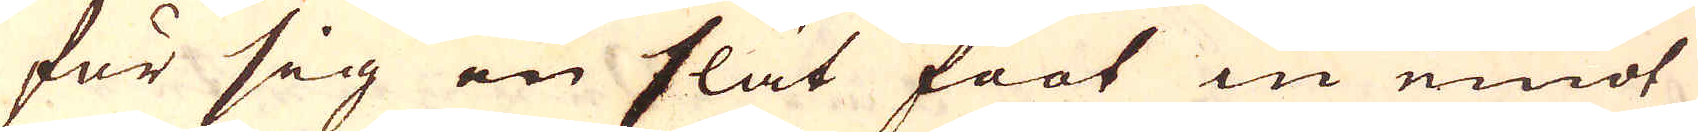för sig en slät foot in emot
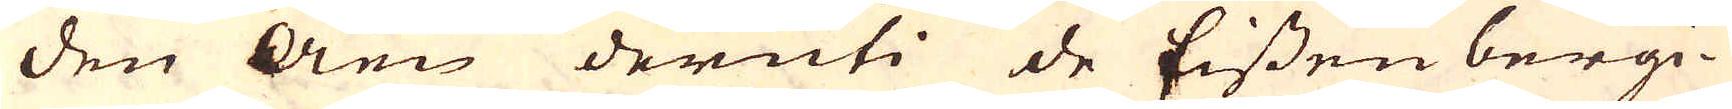den Åen deruti de Eissenbergi-
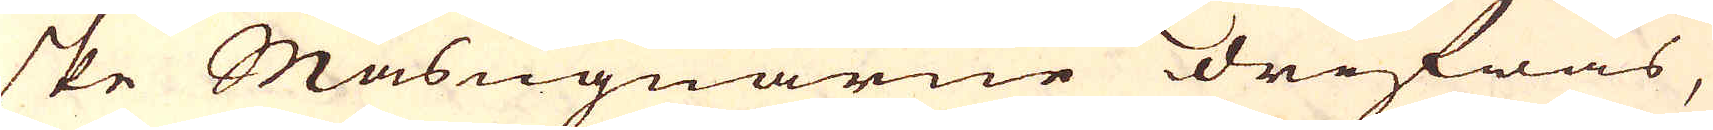ske Masugnarne drifwas,
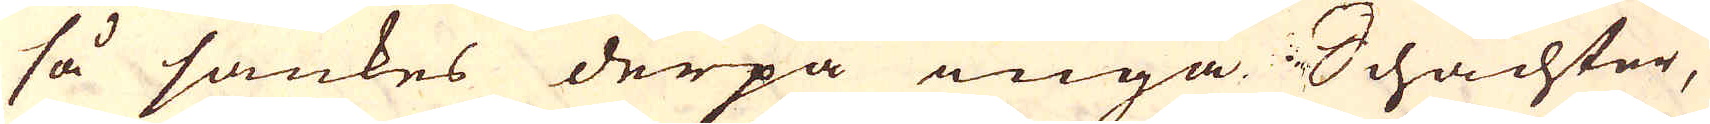så sänkes derpå inga Schachter,
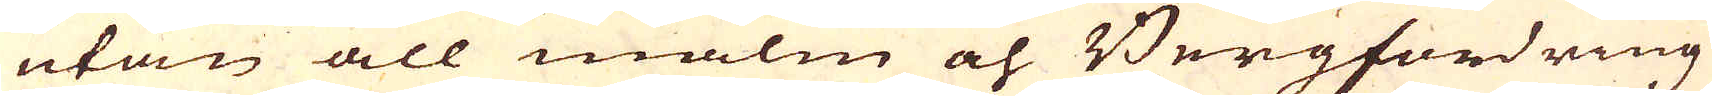utan all malm och Bergfordring
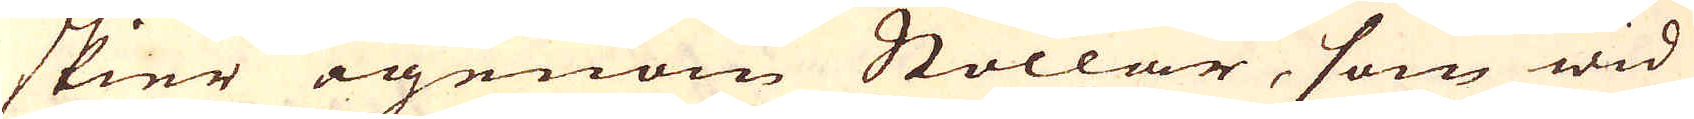skier igenom Stollar, som wid
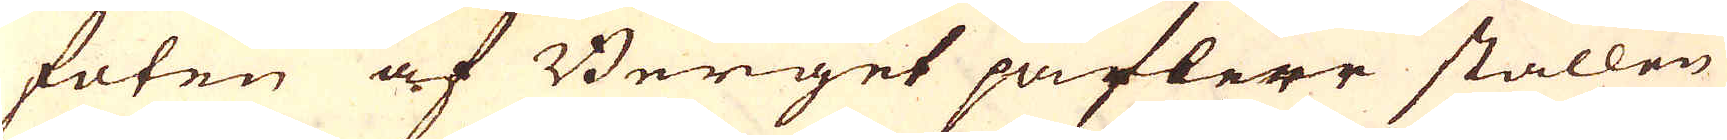foten af Berget på flere ställen
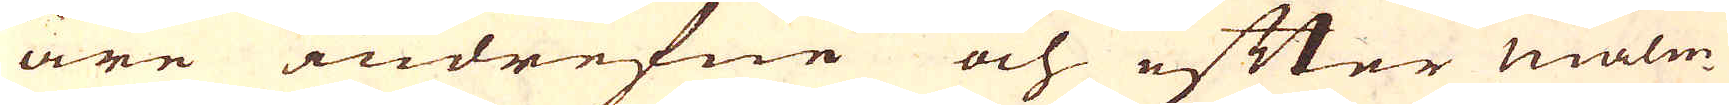äre indrefne och efter malm
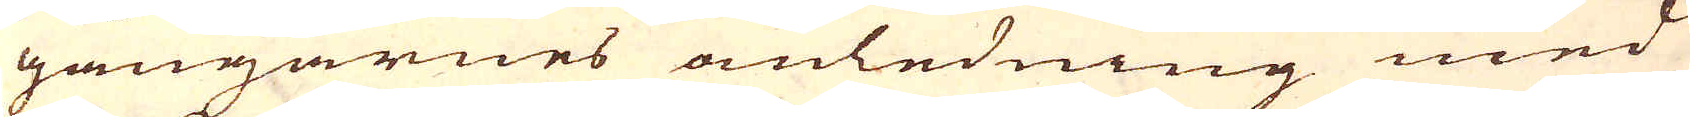gångarnes omledning med
